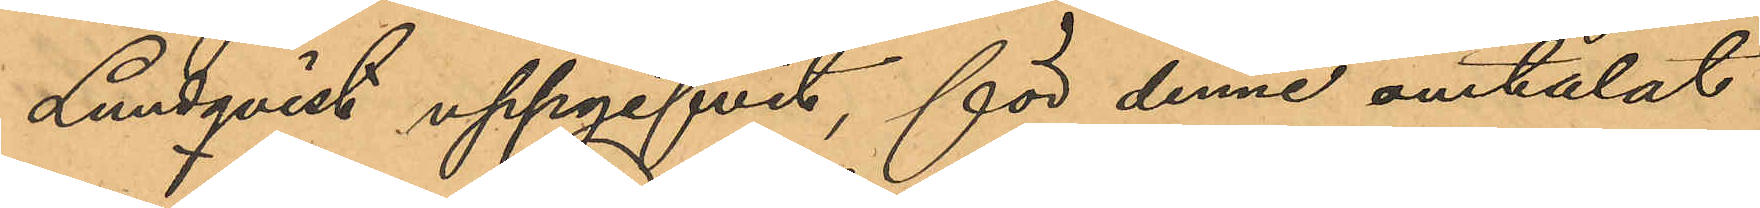Lundqvist uppgifvit, för denne omtalat
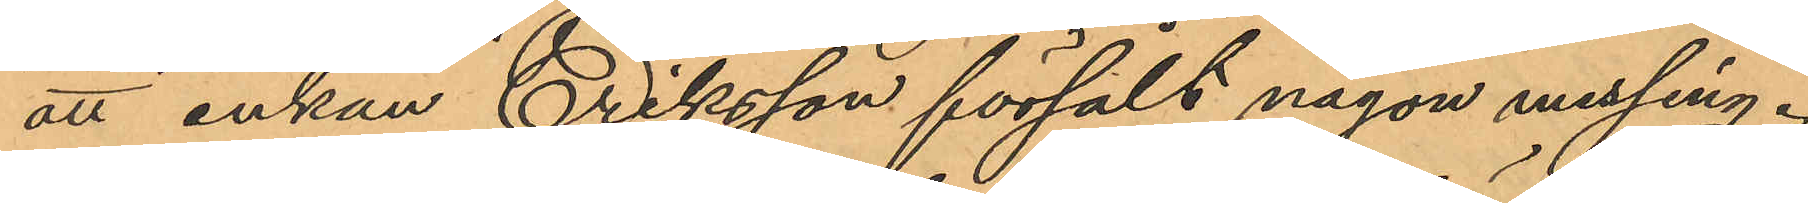att enkan Eriksson försålt någon messing.
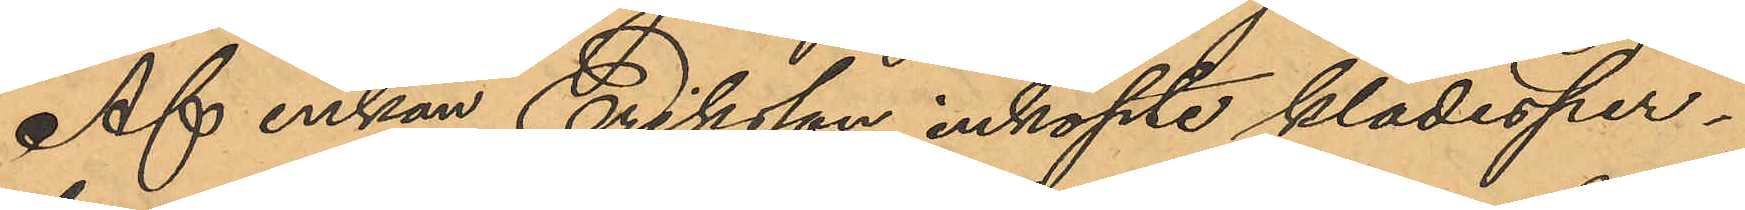Af enkan Eriksson inköpte klädesper¬
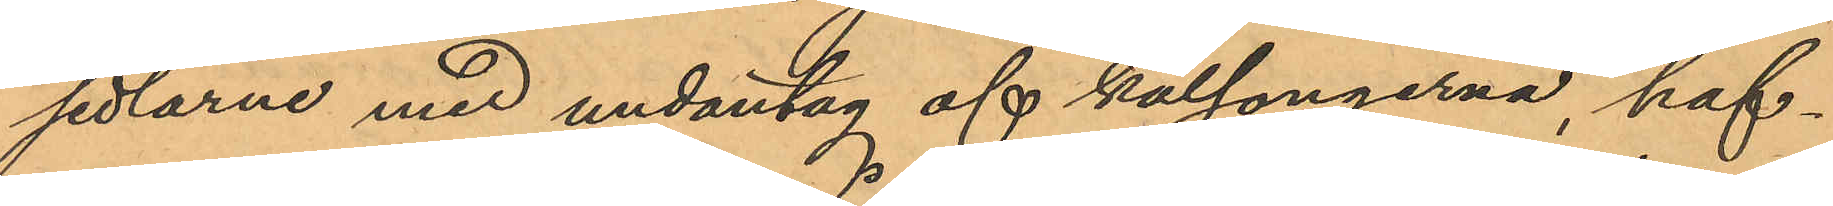sedlarne med undantag af kalsongerna, haf¬
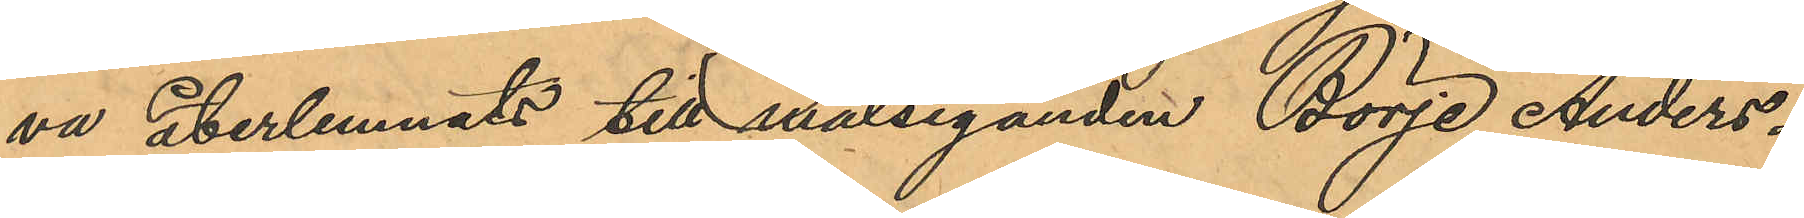va återlemnats till målseganden Börje Anders¬
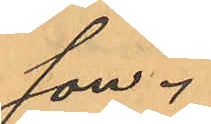son.
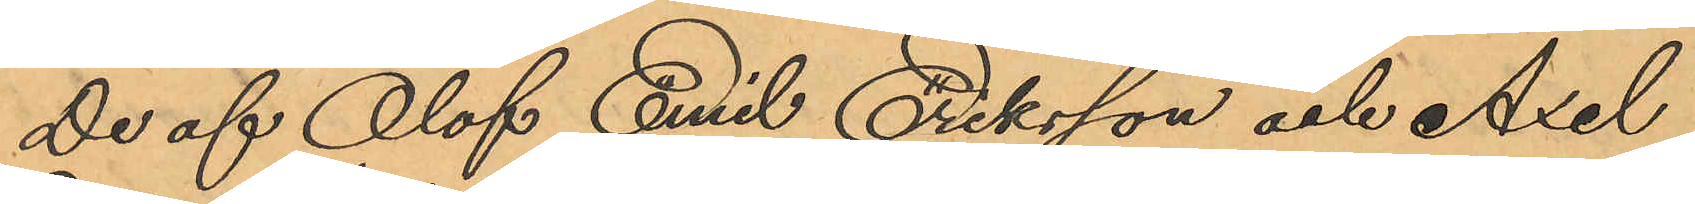De af Olof Emil Eriksson och Axel
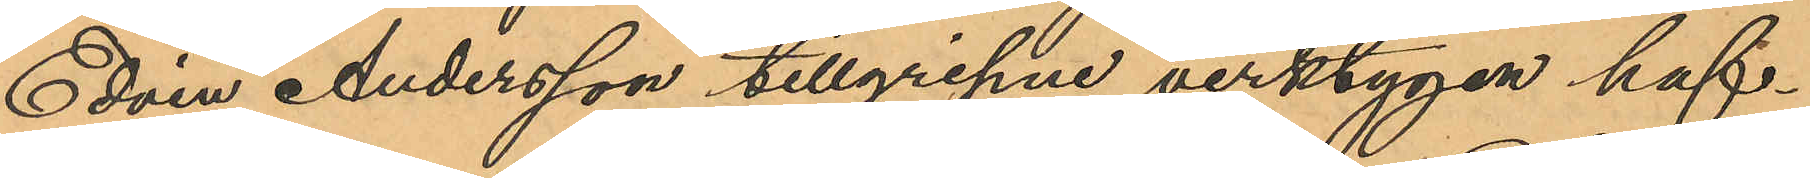Edvin Andersson tillgripne verktygen haf¬
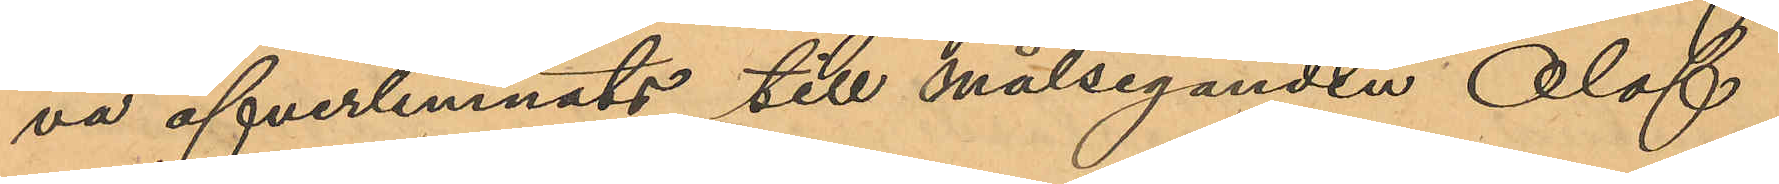va öfverlemnats till Målseganden Olof
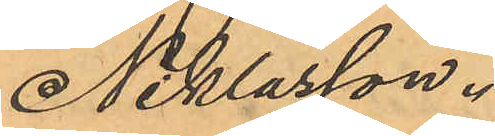Niklasson.
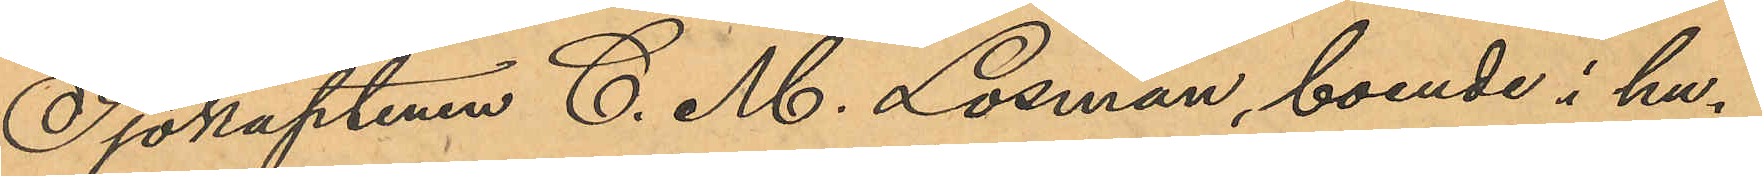Sjökaptenen C. M. Losman, boende i hu¬
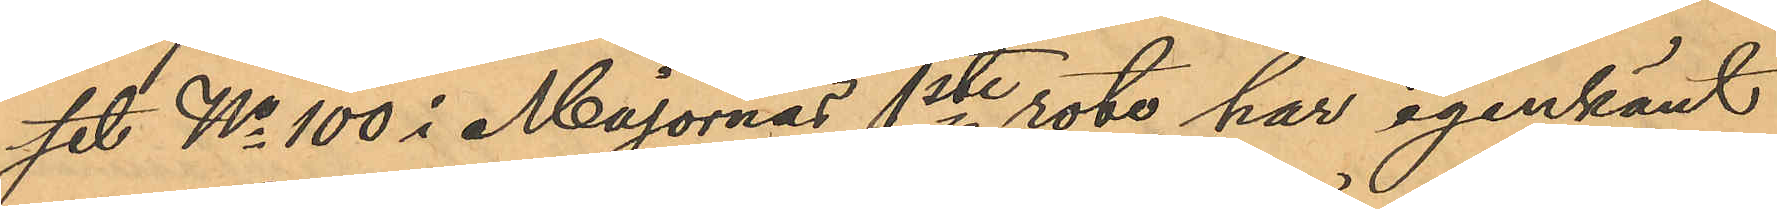set No 100 i Majornas 1ste rote, har igenkänt
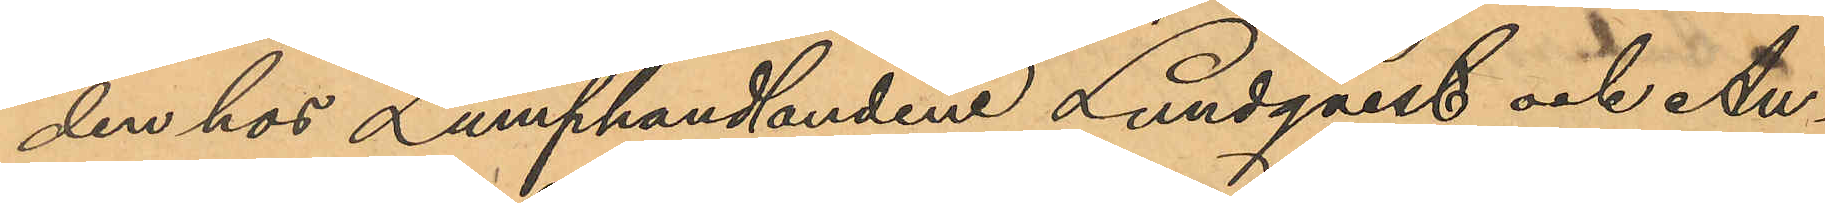den hos Lumphandlandena Lundqvist och An¬
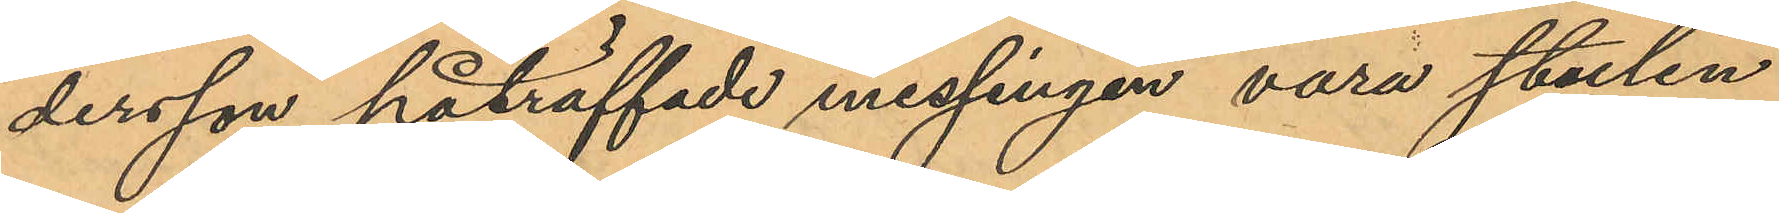dersson påträffade messingen vara stulen
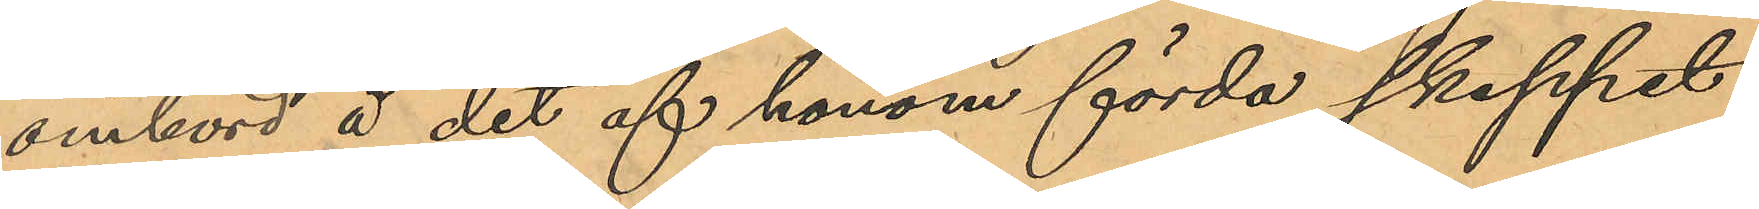ombord å det af honom förda skeppet
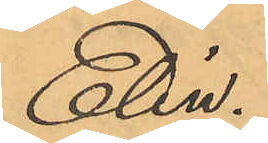Elin.
